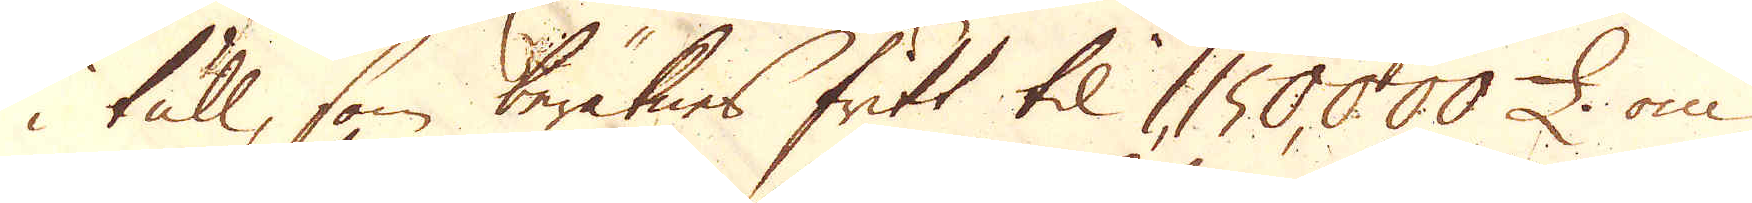i tull, som beräknes fritt til 1,150,000 £. om
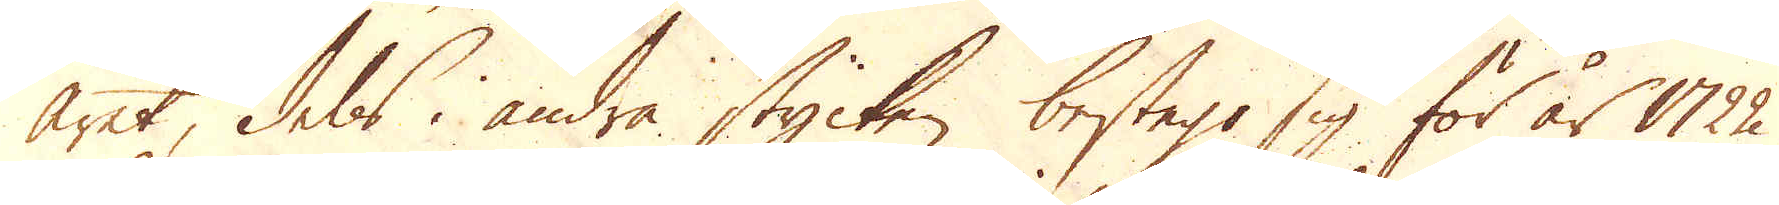året, dels i andra stycken bestego sig för år 1722
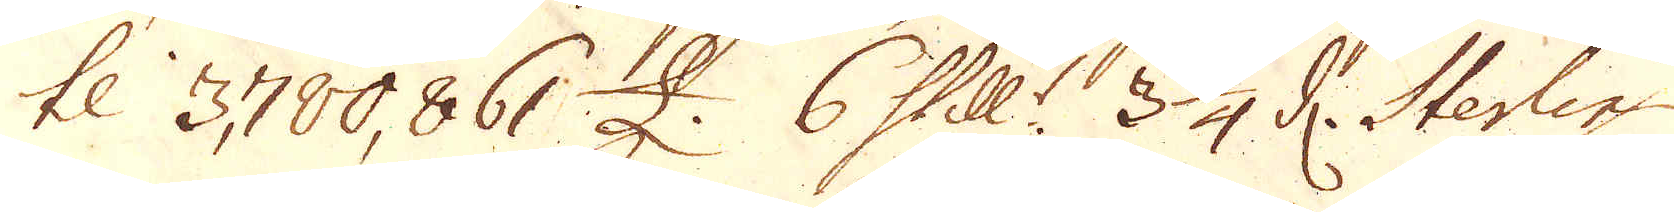til 3,780,861 £. 6 Skill:r 3 1/4 d. Sterling.
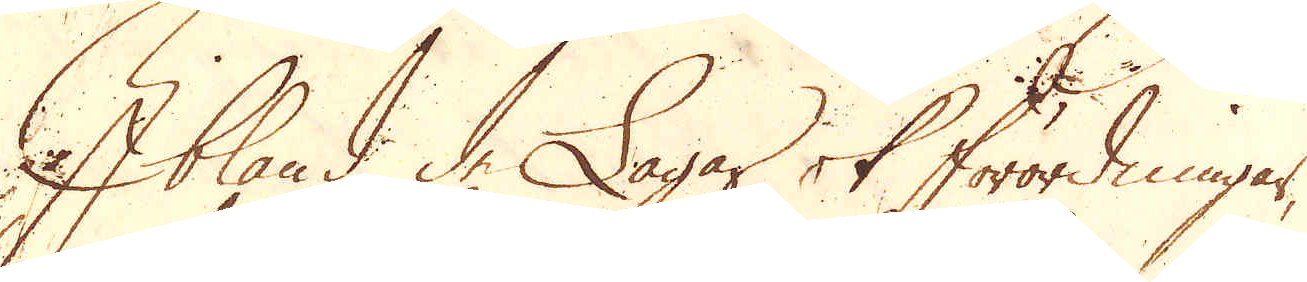Ibland de Lagar ok förordningar,
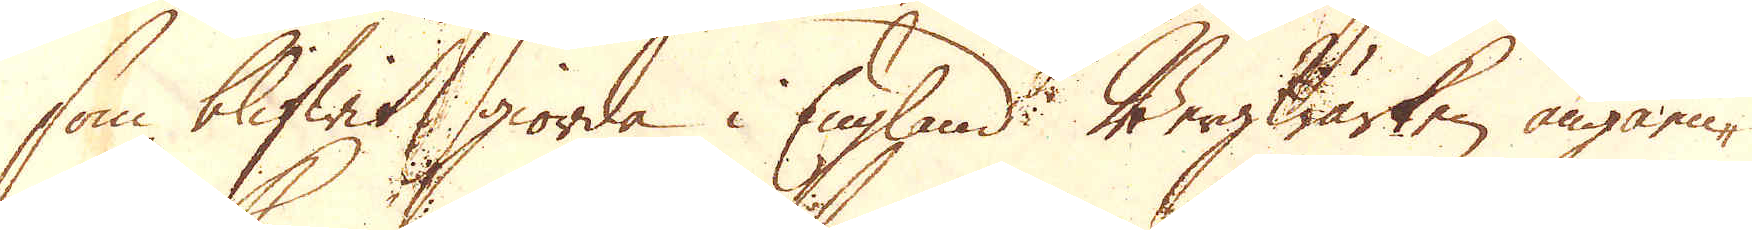som blifwit giorda i England Bergwärken angåen-
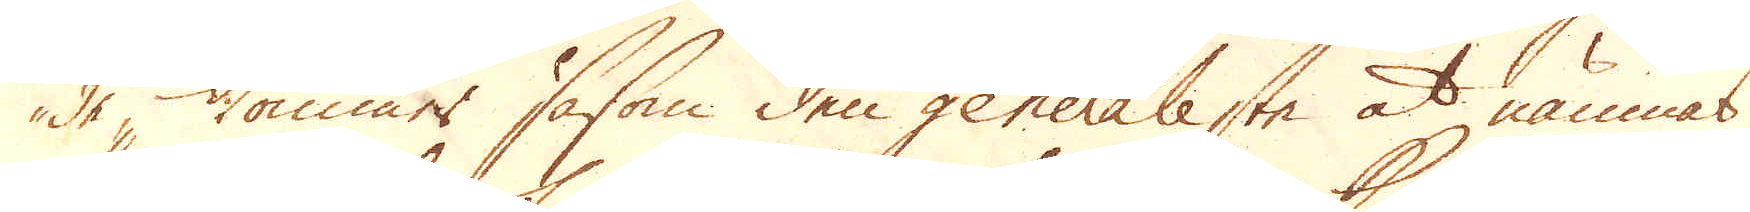de, kommer såsom den generaleste at nämnas
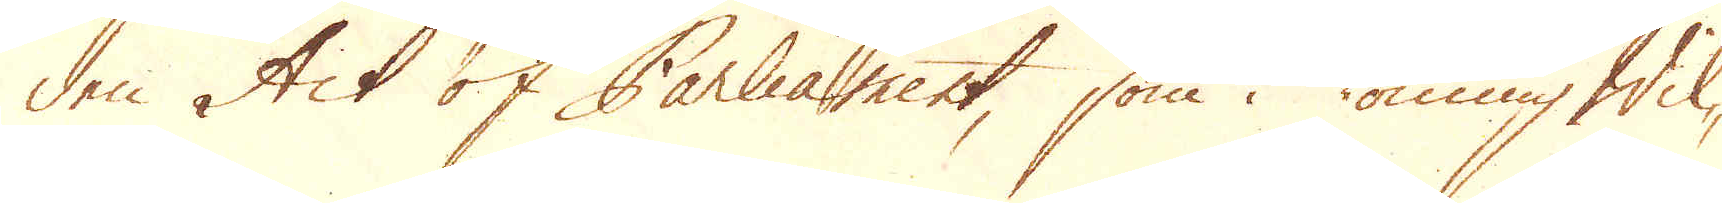den Act of Parliament, som i Konung Wil-
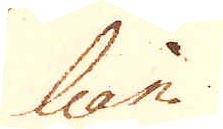liam
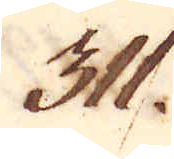311.
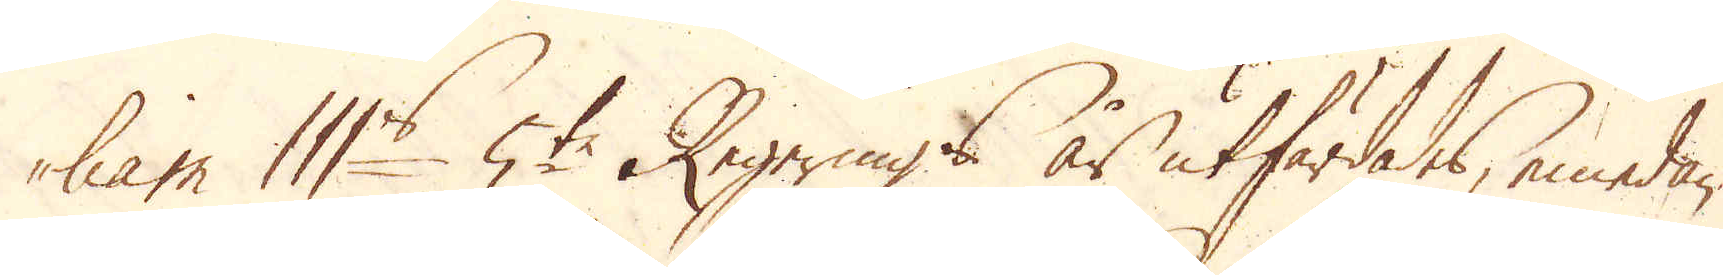liam III:s 5te Regerings år utfärdades, emedan
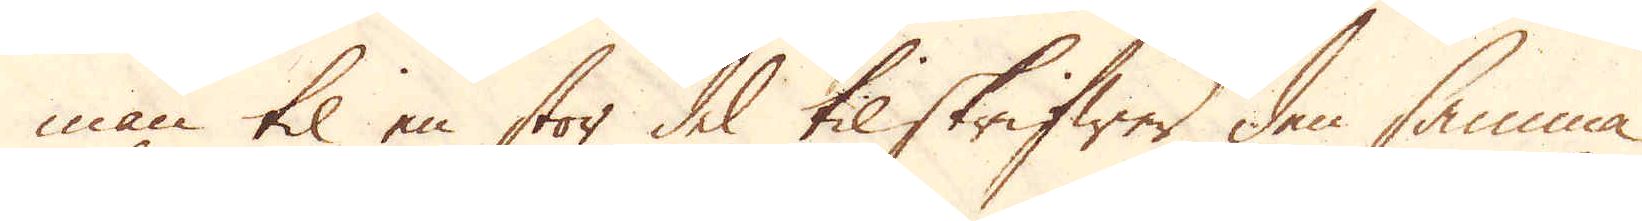man til en stor del tilskrifwer den samma
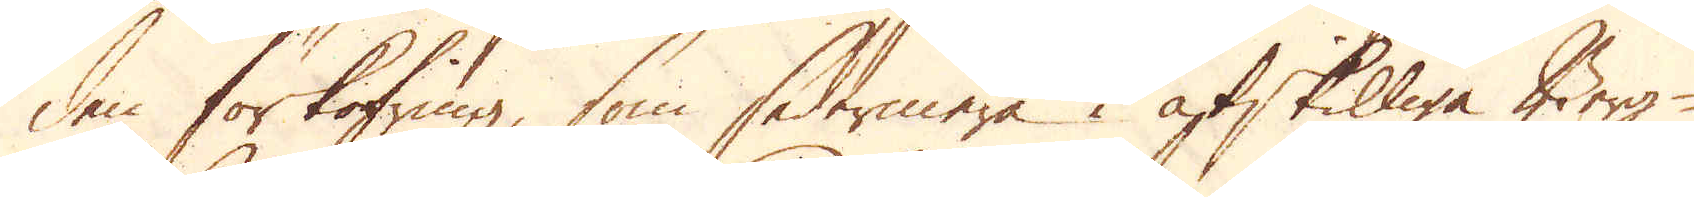den förkofring, som sedermera i åtskilliga Berg-
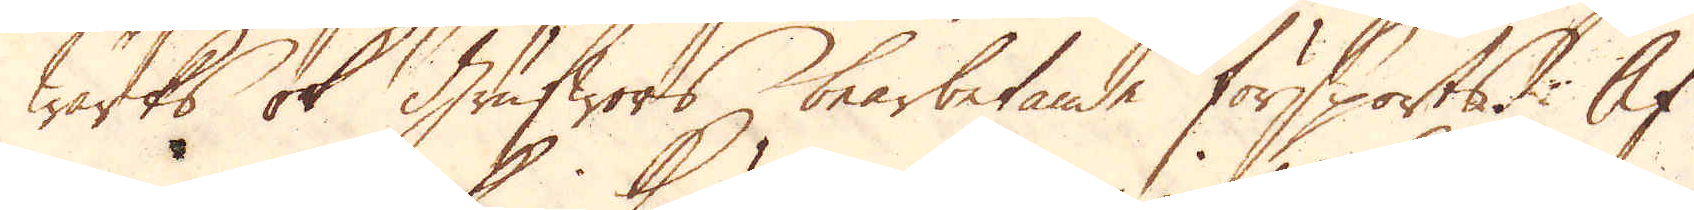Wärks ok Grufwors bearbetande försports. Af
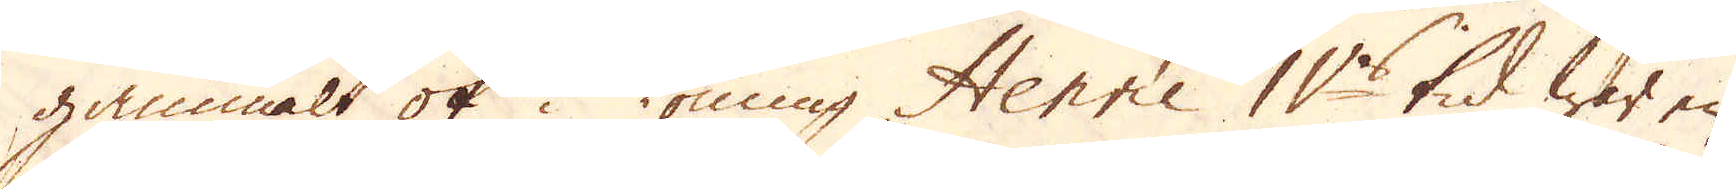gammalt ok i Konung Henric II:s tid war en
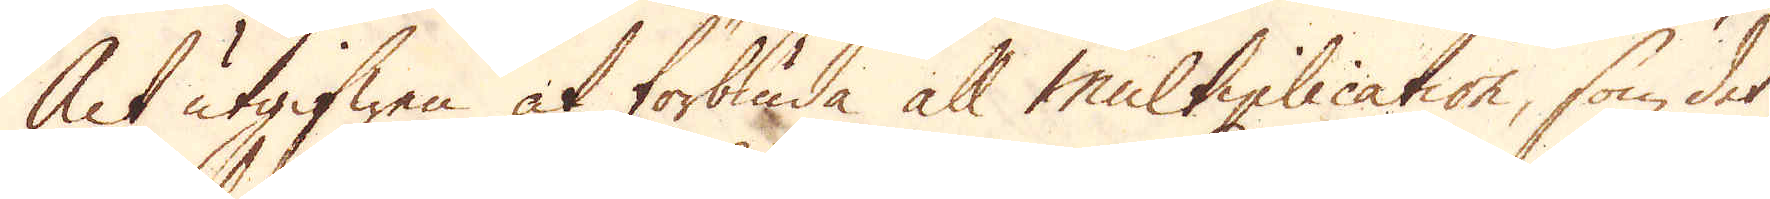Act utgifwen at förbiuda all multiplication, som det
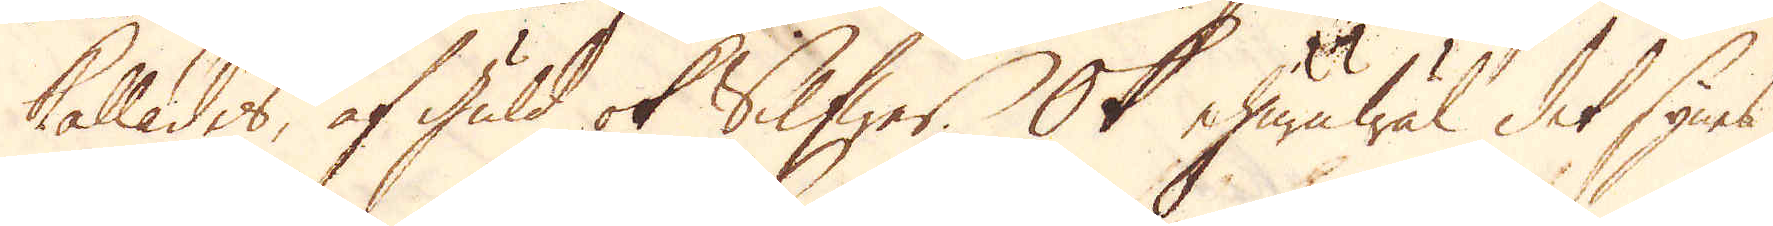kallades, af guld ok Silfwer. Ok ehuruwäl det synes
